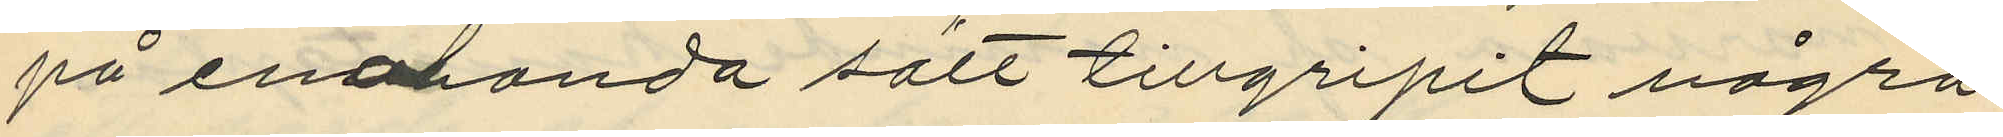på enahanda sätt tillgripit några
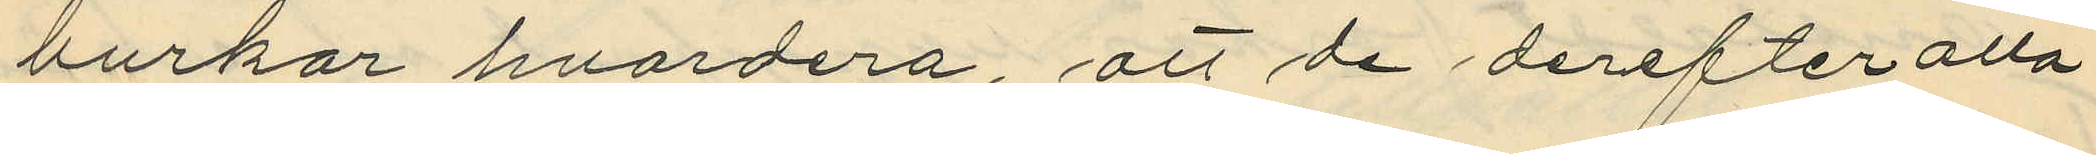burkar hvardera, att de derefter alla
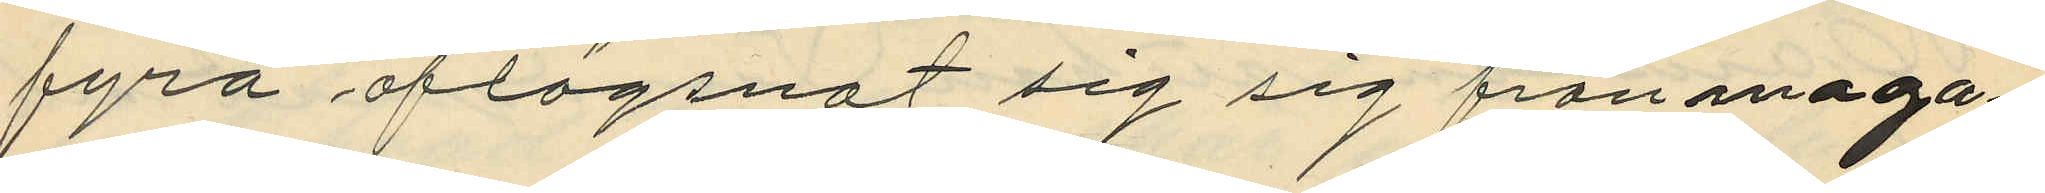fyra aflägsnat sig sig från maga¬
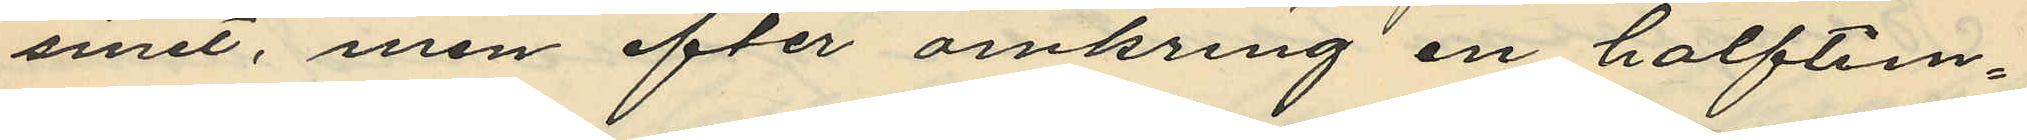sinet, men efter omkring en halftim¬
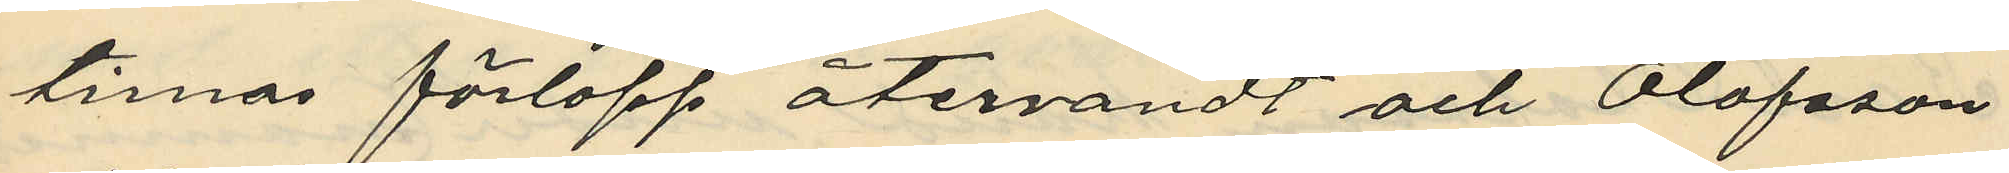es förlopp återvändt och Olofsson
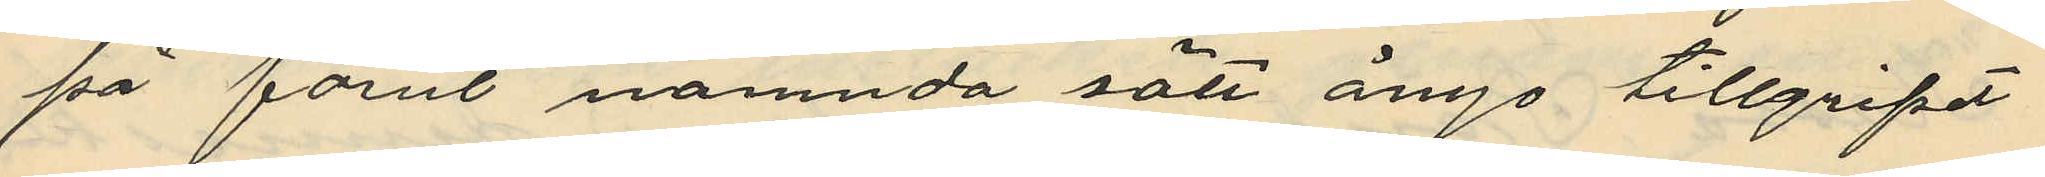på förut nämnda sätt ånyo tillgripit
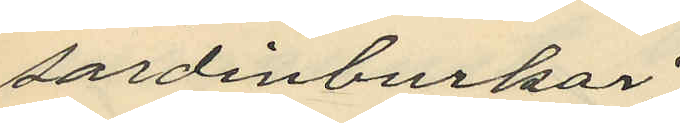sardinburkar;
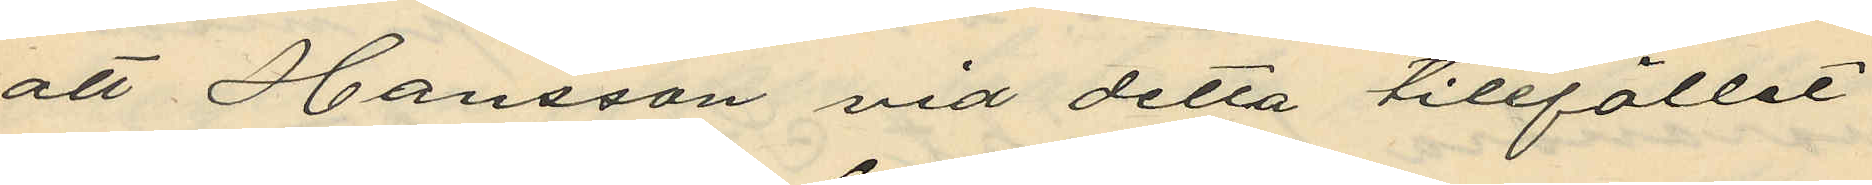att Hansson vid detta tillfället
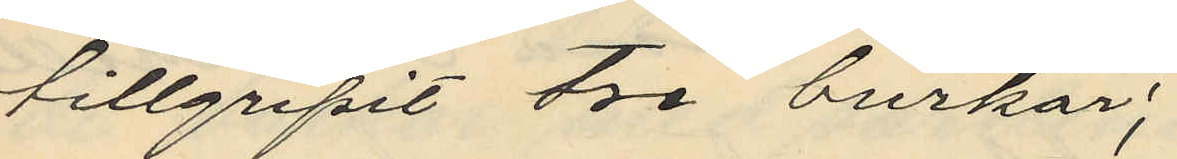tillgripit tre burkar;
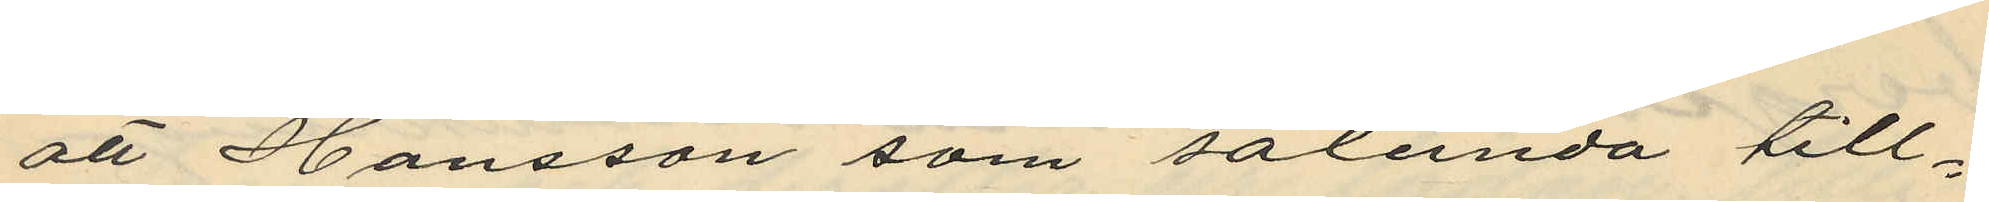att Hansson som sålunda till¬
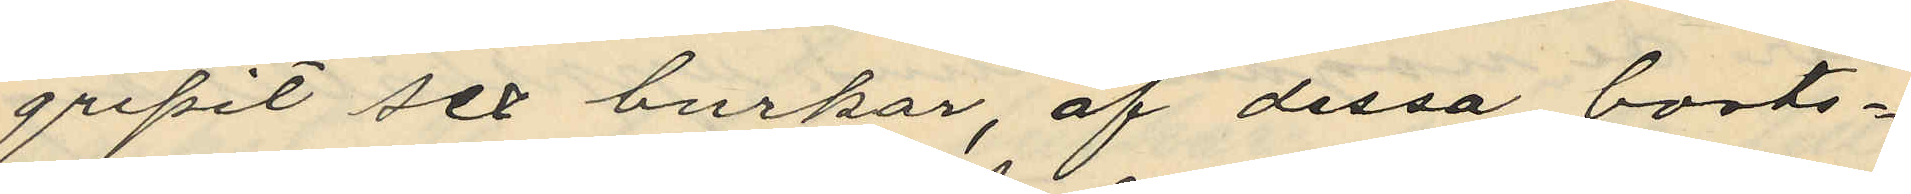gripit sex burkar, af dessa borts¬
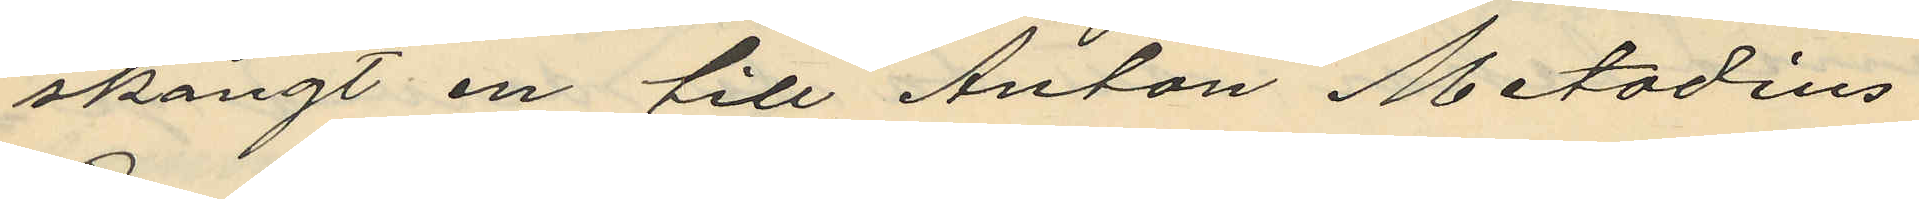skängt en till Anton Metodius
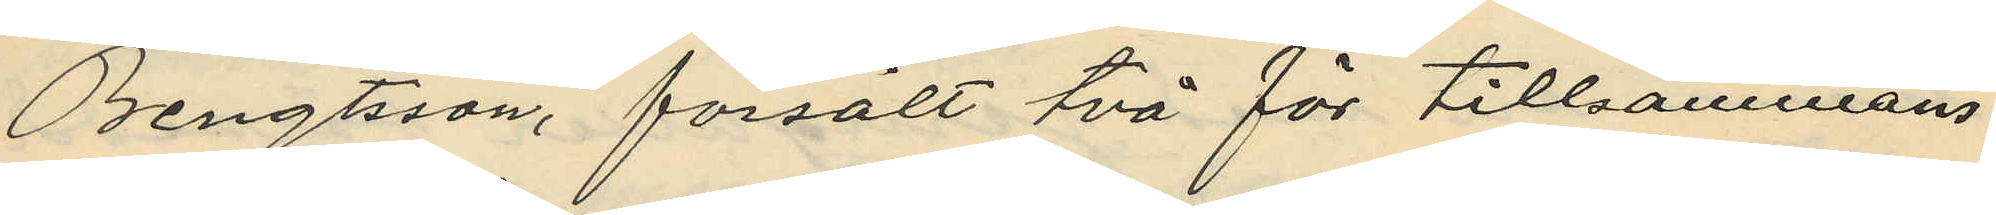Bengtsson, försålt två för tillsammans
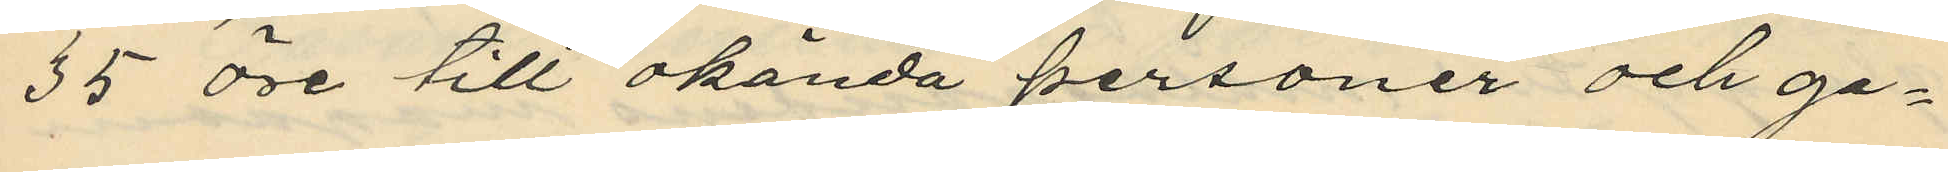35 öre till okända personer och ge¬
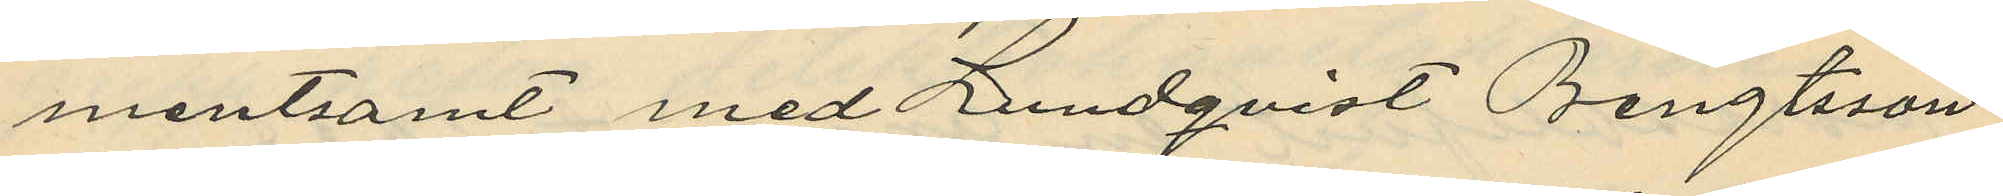mantsamt med Lundqvist, Bengtsson
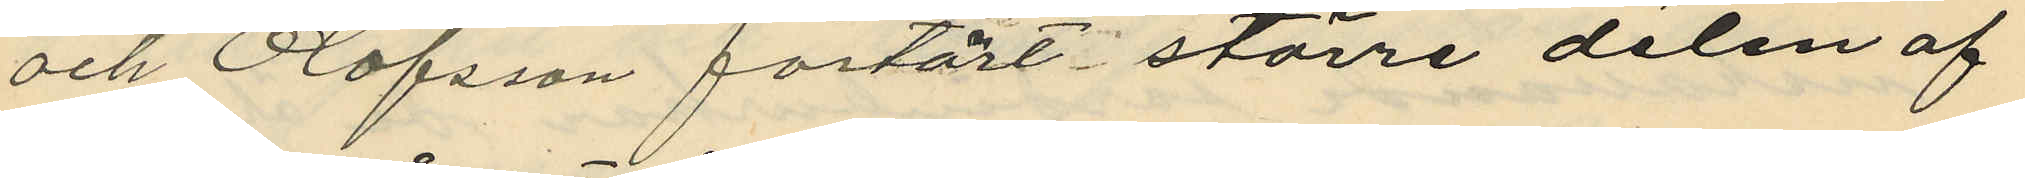och Olofsson förtärt större delen af
